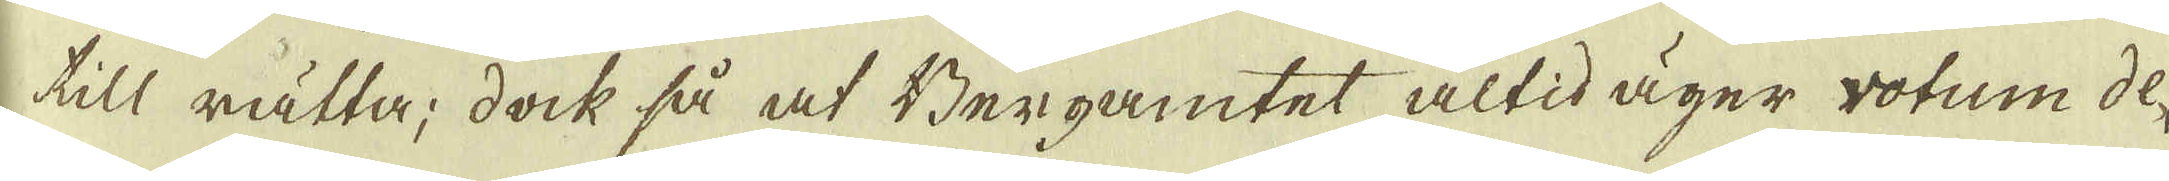till rätta; dock så af Bergamtet altid äger wotum de-
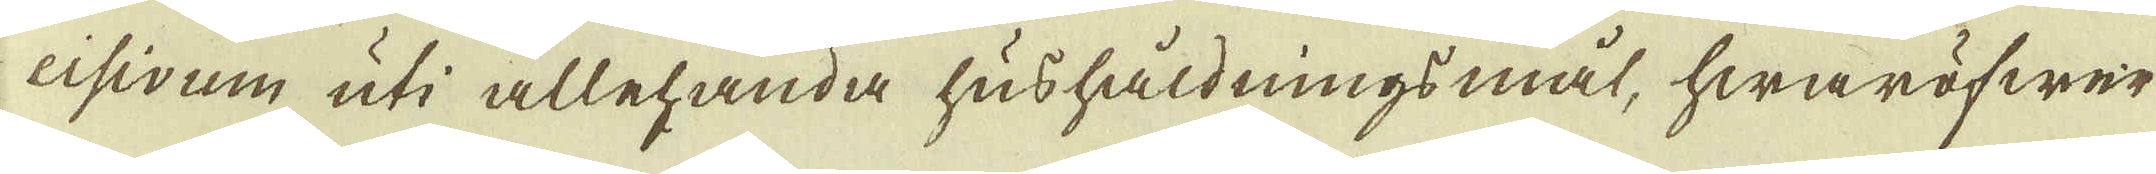cisivum uti allehanda hushåldningsmål, hwaröfwer
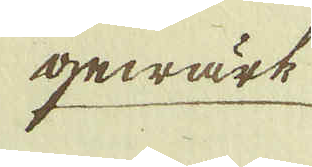gewärk
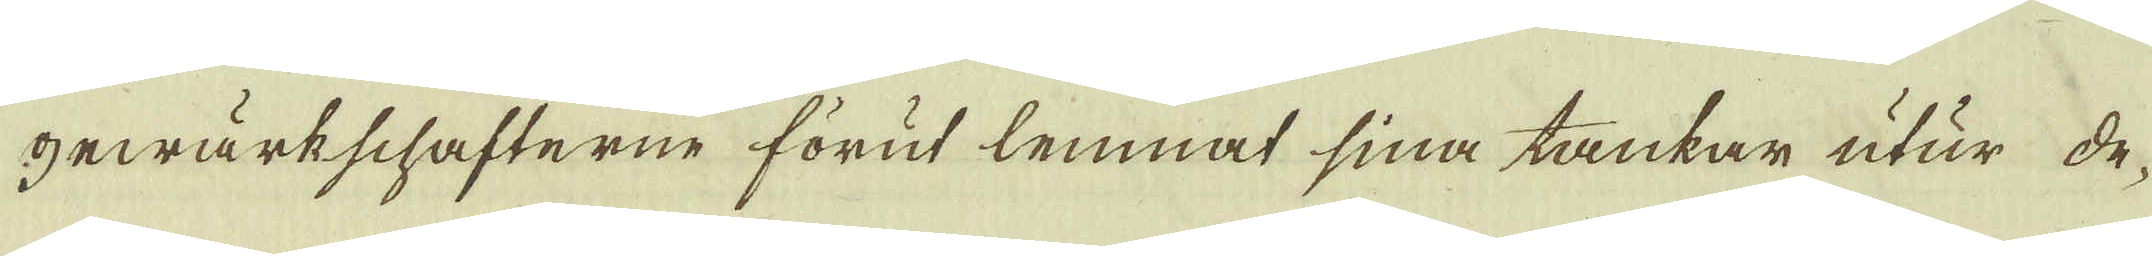gewärkschafterne förut lemnat sina tankar utur de-
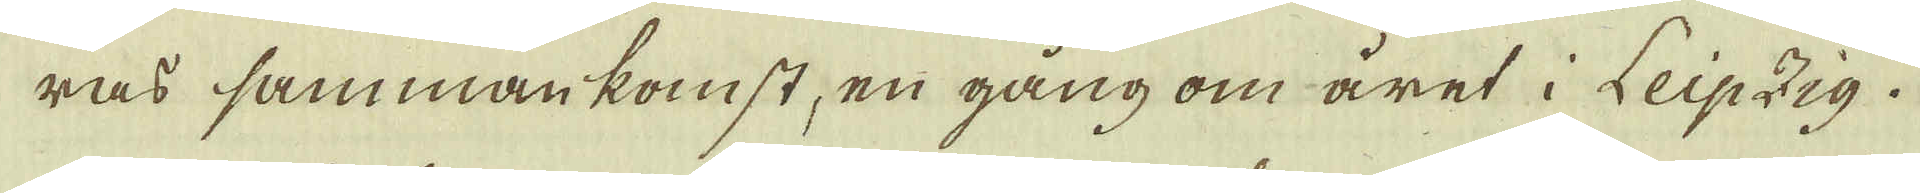ras sammankomst, en gång om året i Leipzig.
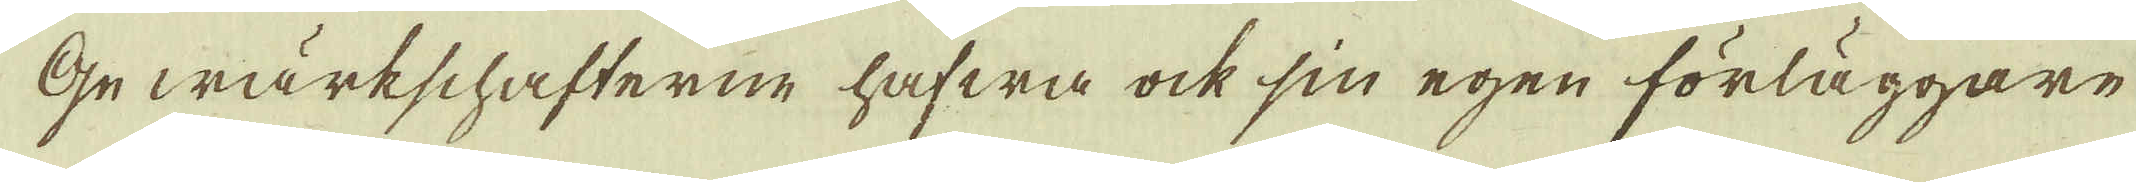Gewärkschafterne hafwa ock sin egen förläggare
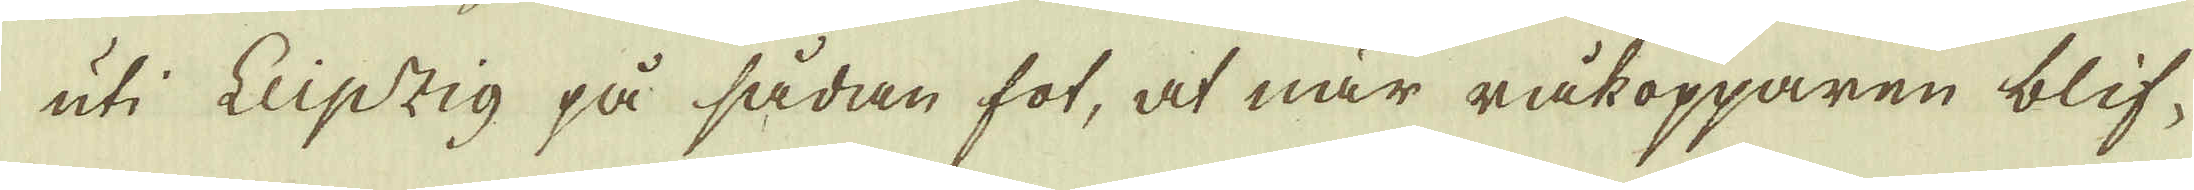uti Leipzig på sådan fot, at när råkopparen blif-
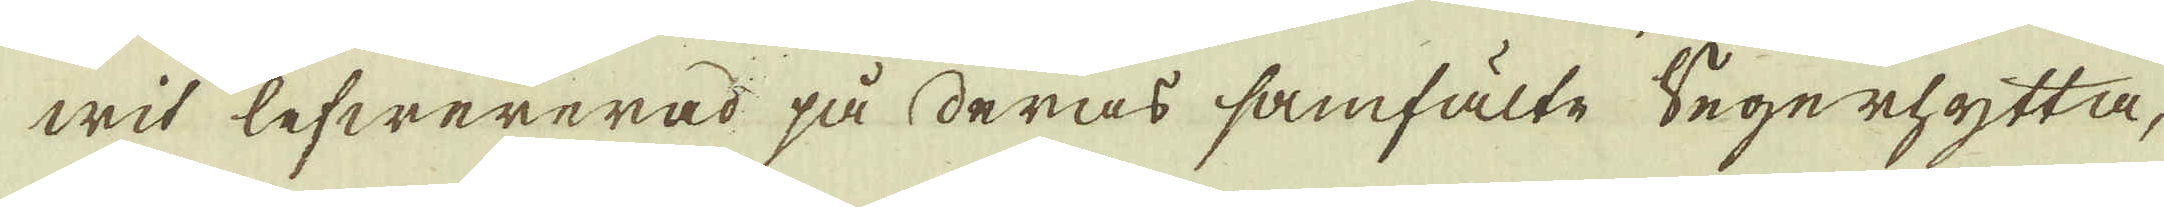wit lefwererad på deras samfälte Segerhytta,
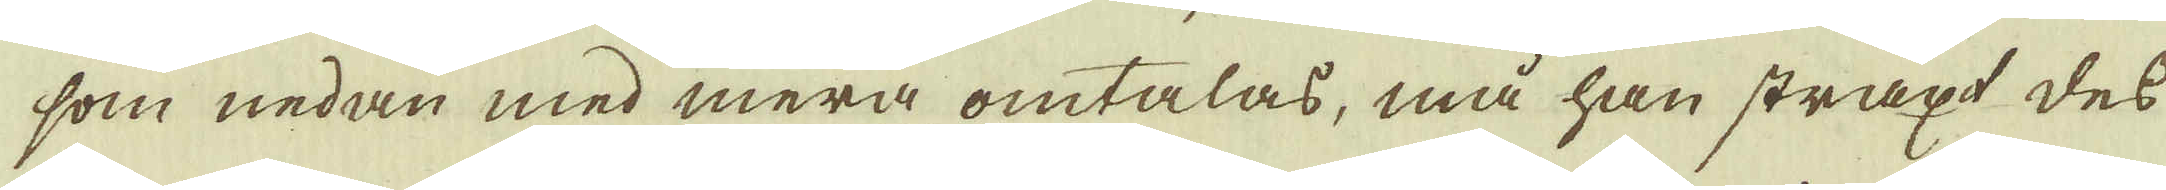som nedan med mera omtalas, må han straxt des
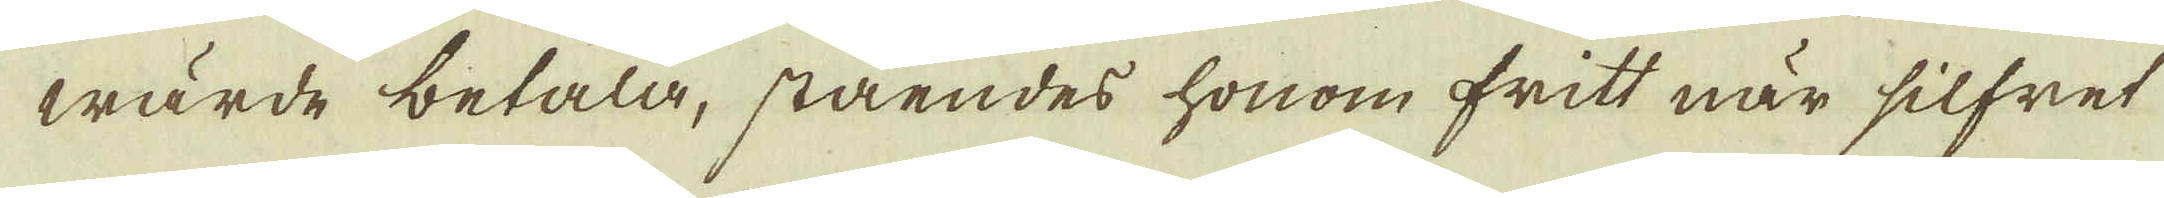wärde betala, ståendes honom fritt när silfret
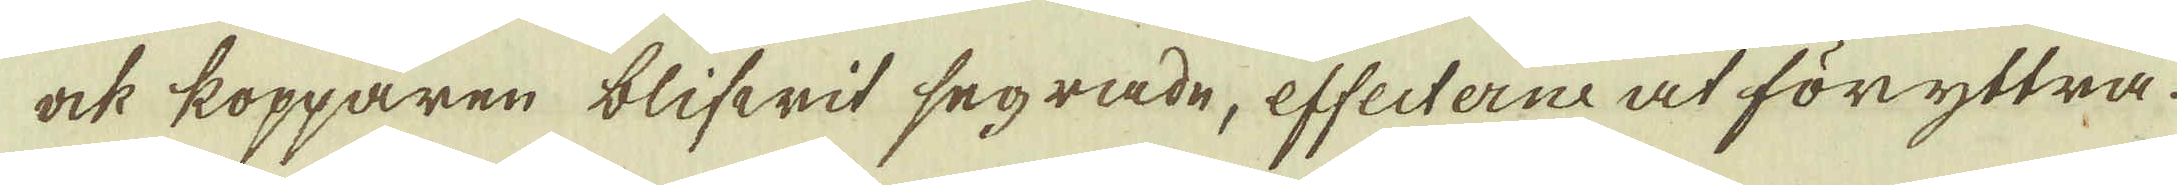ock kopparen blifwit segrade, effecterne at föryttra.
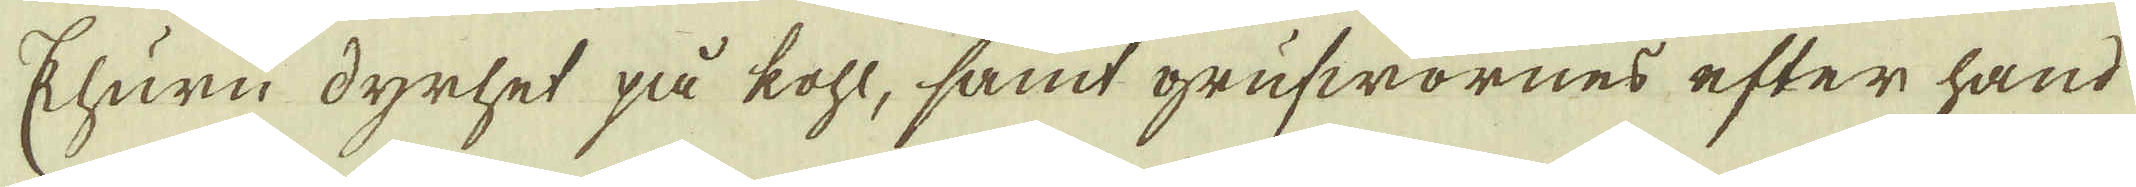Ehuru dyrhet på kohl, samt grufwornes efter hand
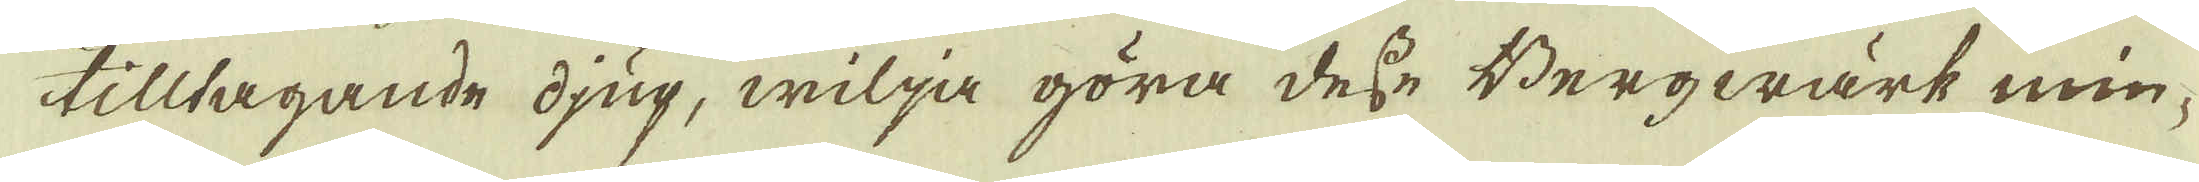tilltagande djup, wilja göra desse Bergwärk min-
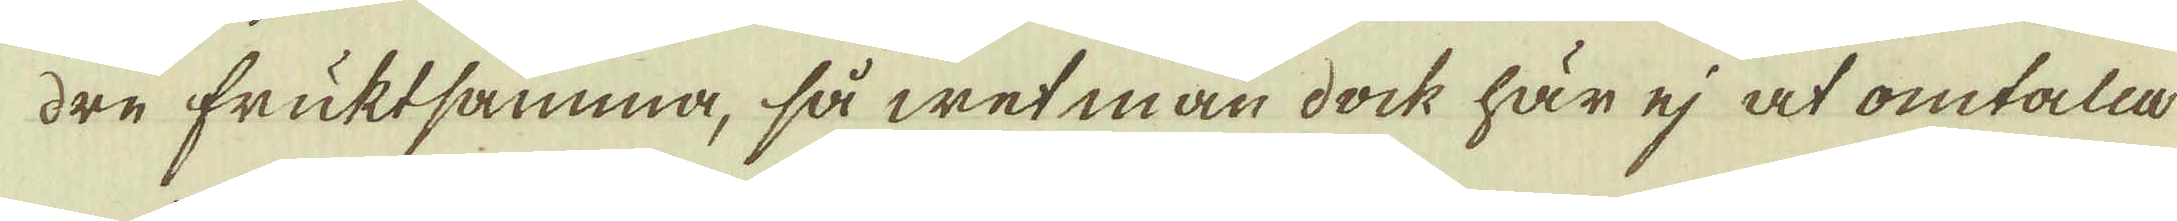dre fruktsamma, så wet man dock här ej at omtala
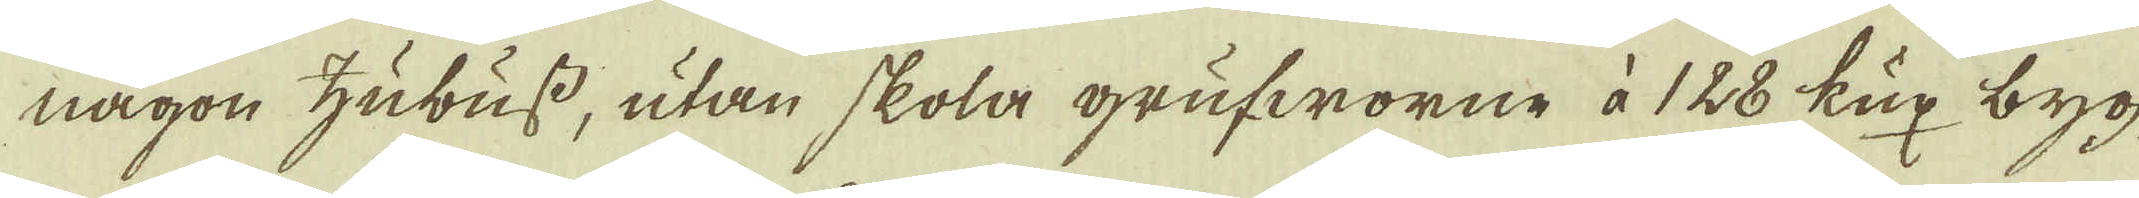någon hubuss, utan skola grufworne à 128 kux byg-
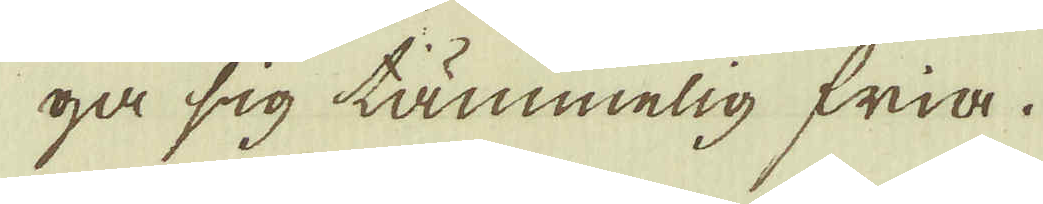ga sig tämmelig fria.
